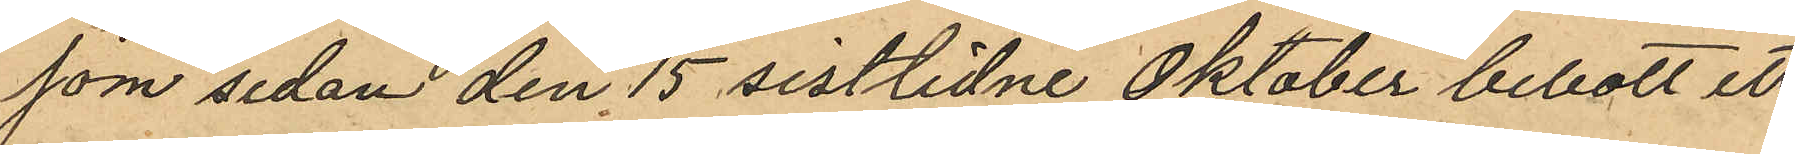som sedan den 15 sistlidne Oktober bebott ett
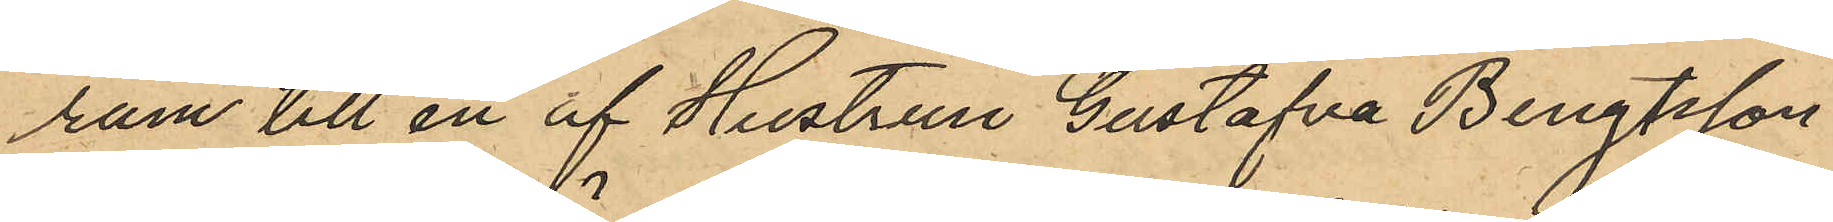rum till en af Hustrun Gustafva Bengtsson
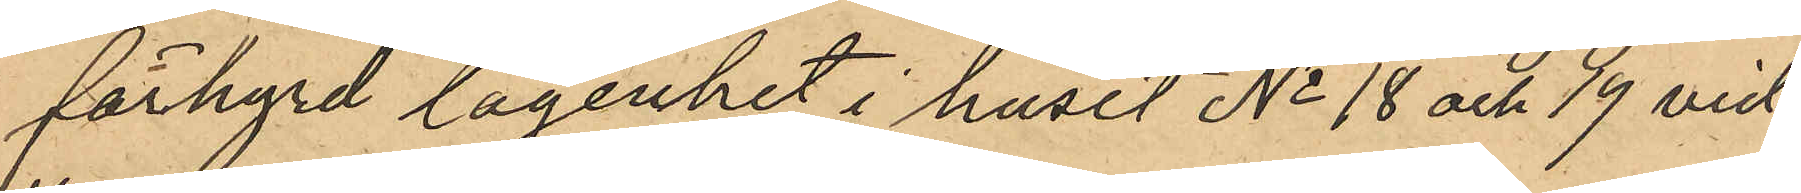förhyrd lägenhet i huset No 18 och 19 vid
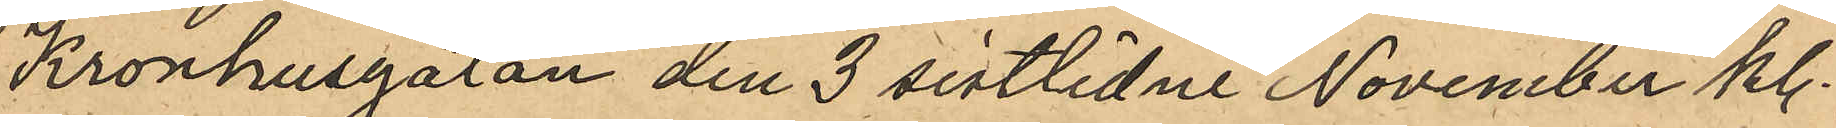Kronhusgatan den 3 sistlidne November kl.
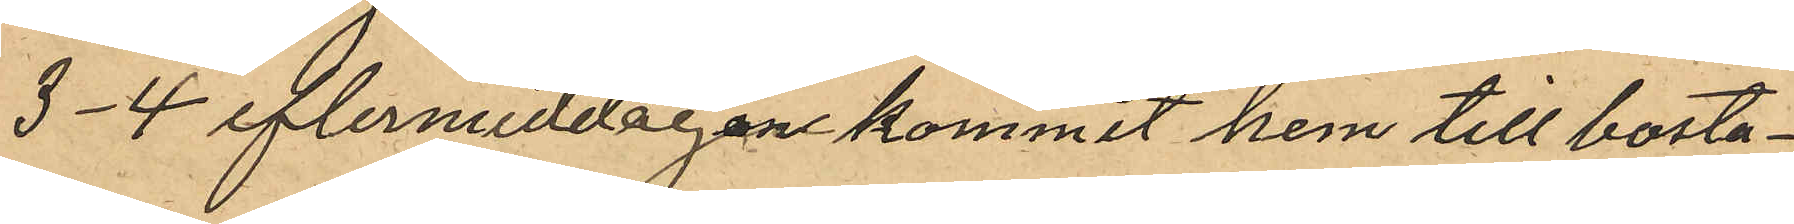3-4 eftermiddagen kommit hem till bosta¬
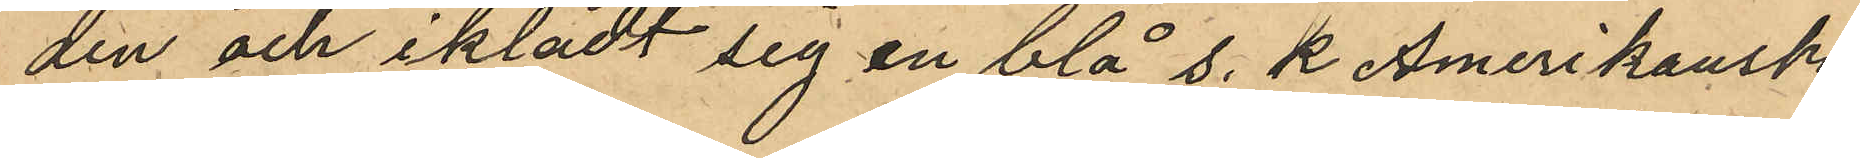den och iklädt sig en blå s. k Amerikansk
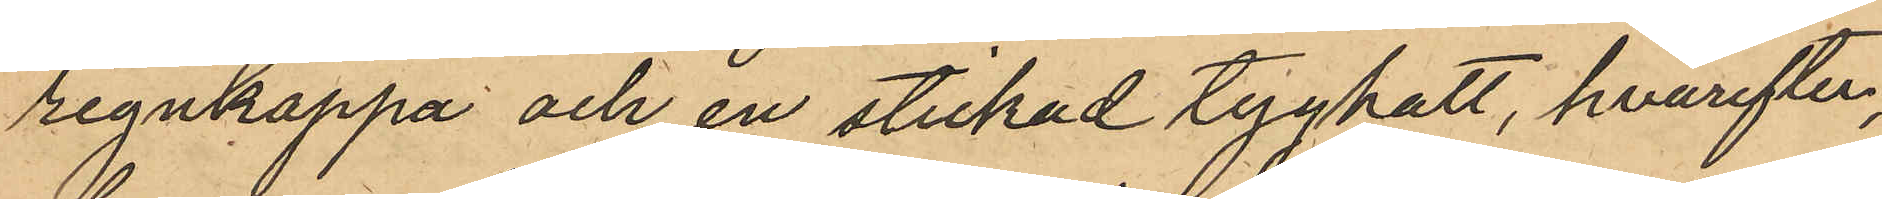regnkappa och en stickad tyghatt, hvarefter,
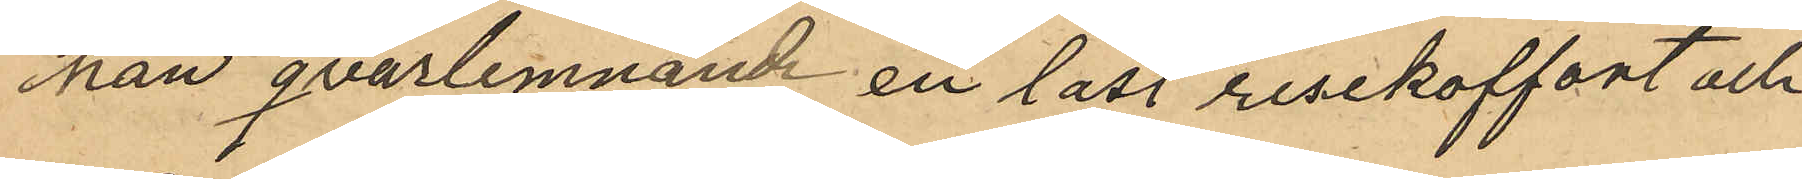han qvarlemnande en låst resekoffert och
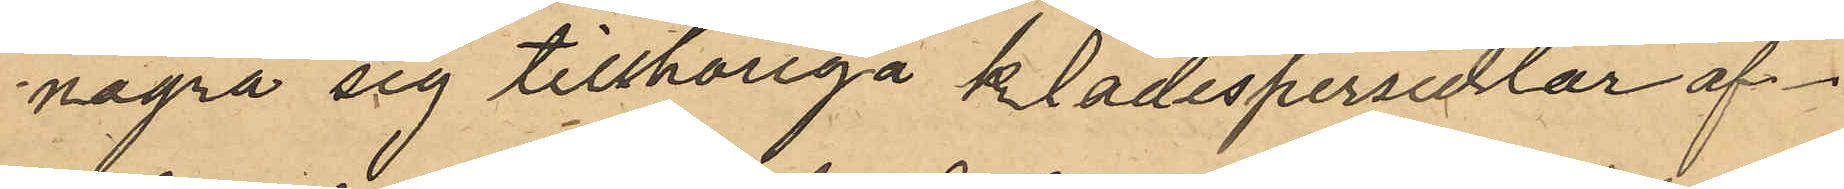några sig tillhöriga klädespersedlar af¬
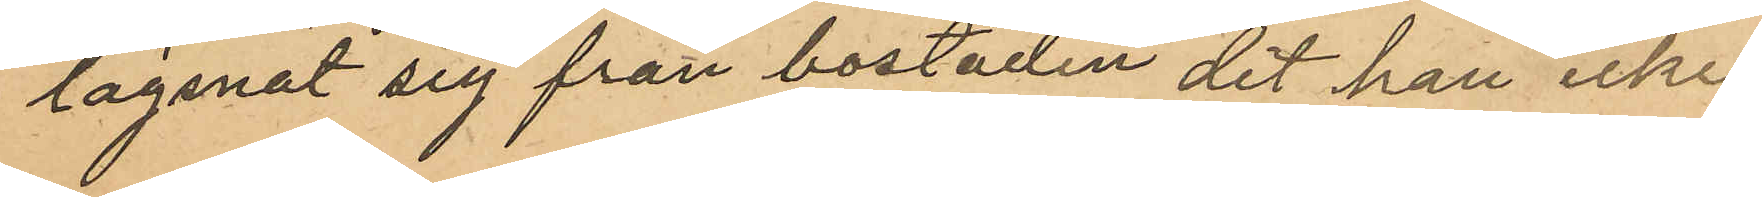lägsnat sig från bostaden dit han icke
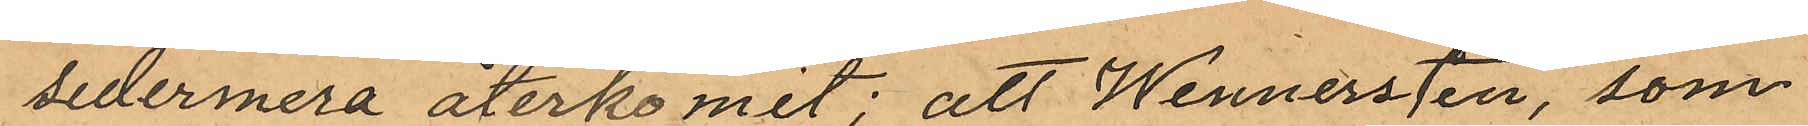sedermera återkomit; att Wennersten, som
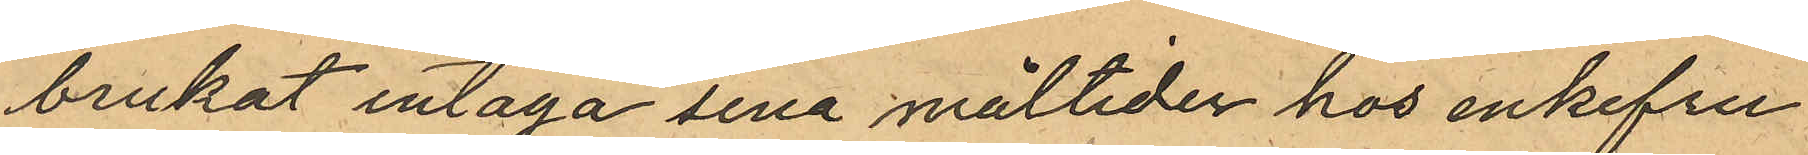brukat intaga sina måltider hos enkefru
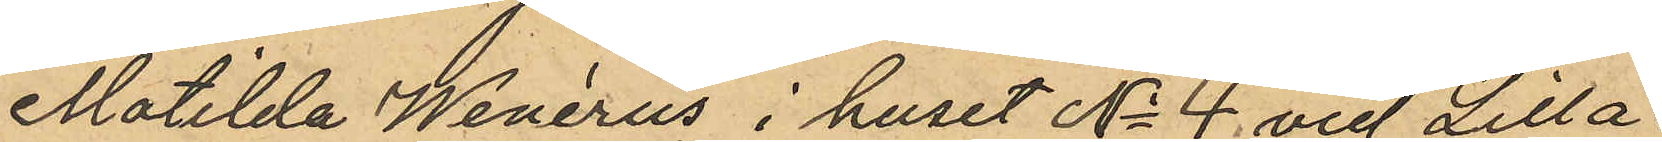Matilda Wenérus i huset No 4 vid Lilla
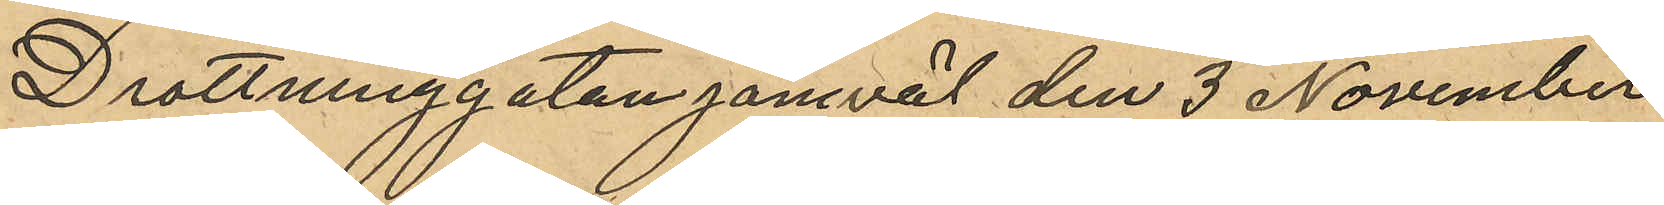Drottninggatan jämväl den 3 November
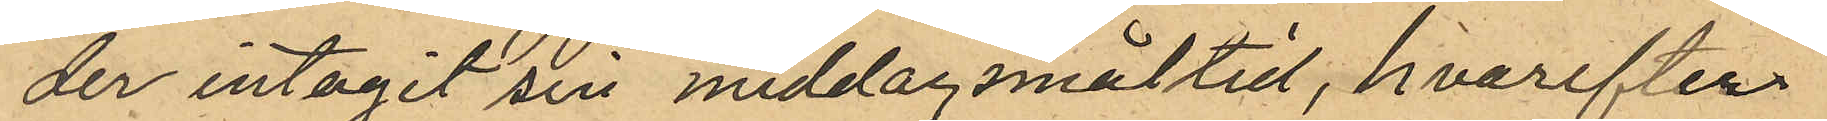der intagit sin middagsmåltid, hvarefter
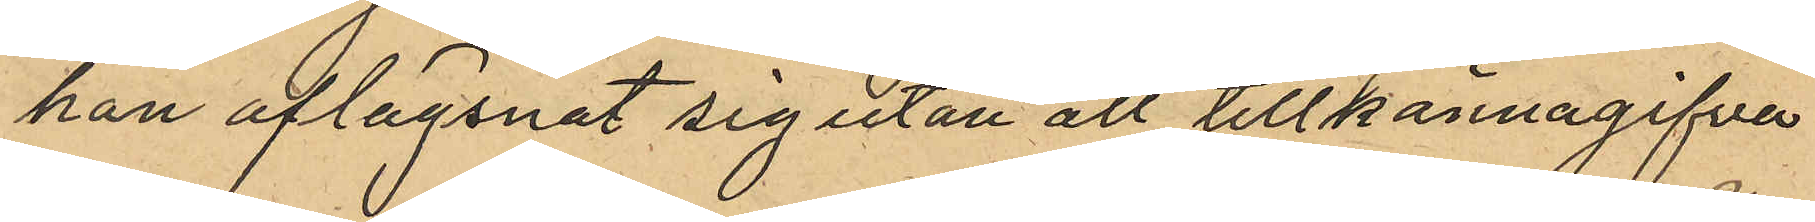han aflägsnat sig utan att tillkännagifva
